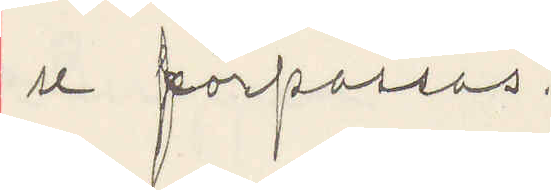se förpassas.
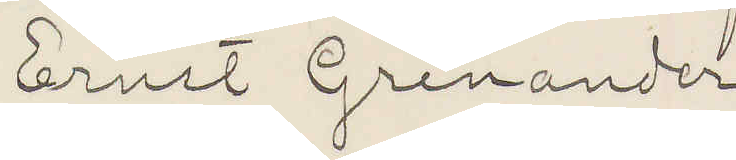Ernst Grenander
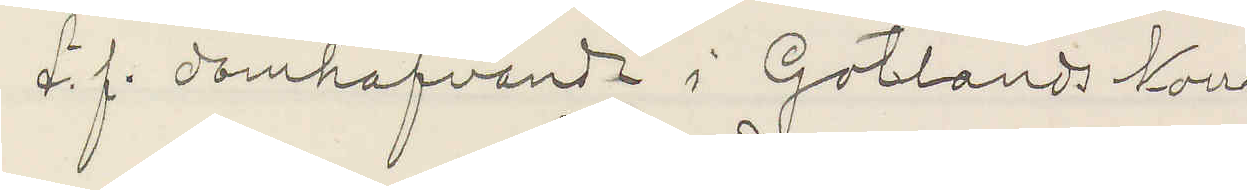t. f. domhafvande i Gotlands Norra
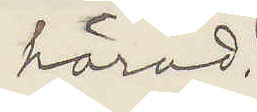härad.
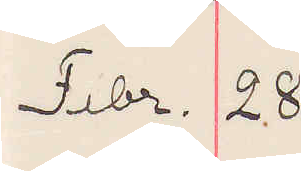Febr. 28
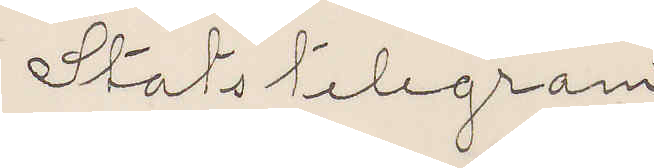Statstelegram
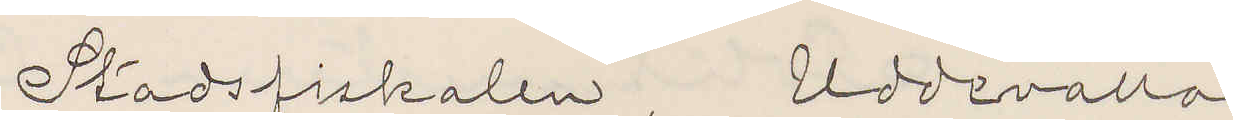Stadsfiskalen, Uddevalla
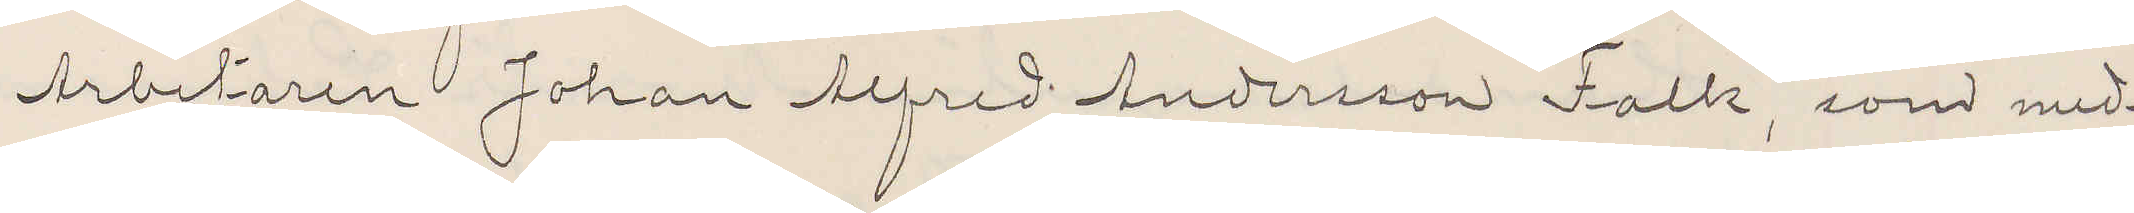Arbetaren Johan Alfred Andersson Falk, som med¬
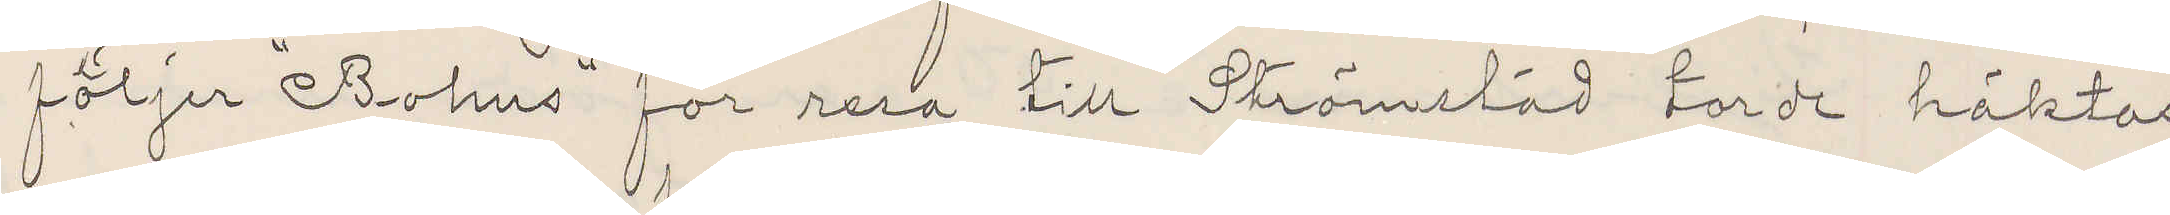följer "Bohus" för resa till Strömstad torde häktas
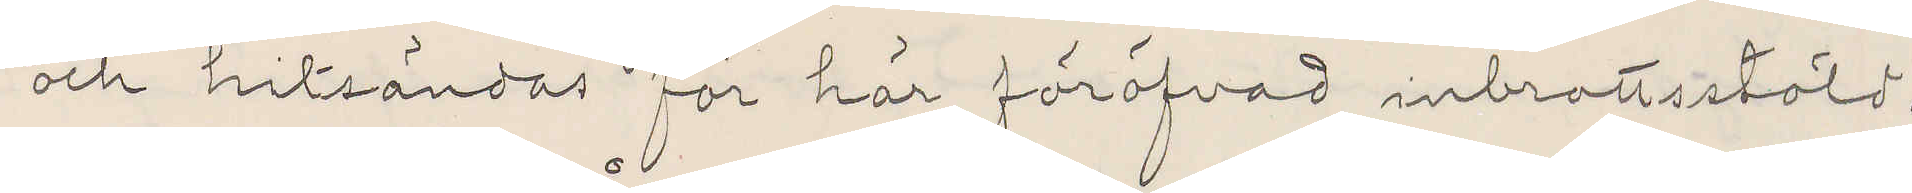och hitsändas för här föröfvad inbrottsstöld.
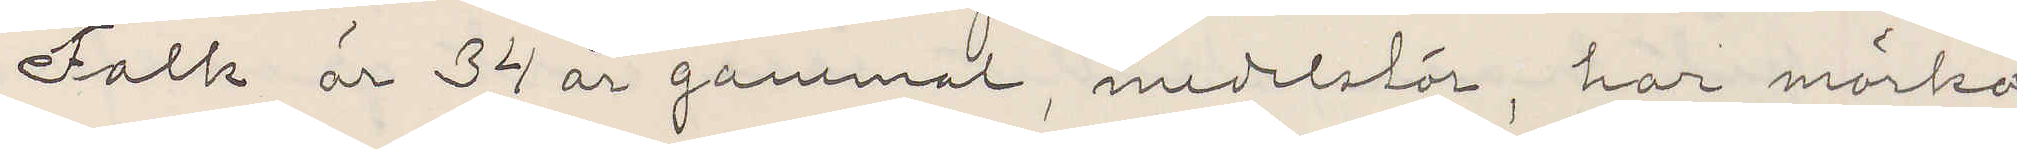Falk är 34 år gammal, medelstor, har mörka
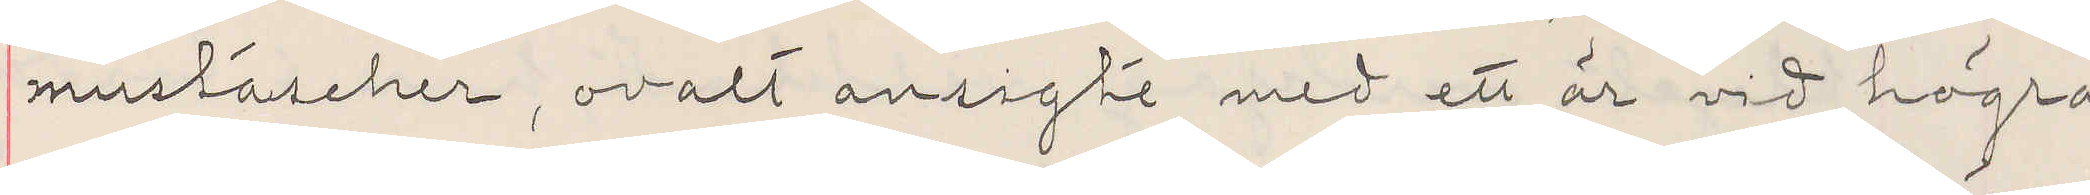mustascher, ovalt ansigte med ett är vid högra
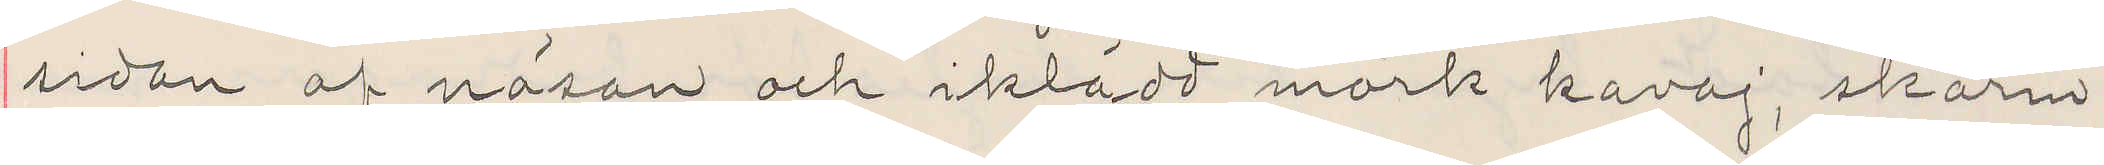sidan af näsan och iklädd mörk kavaj, skärm¬
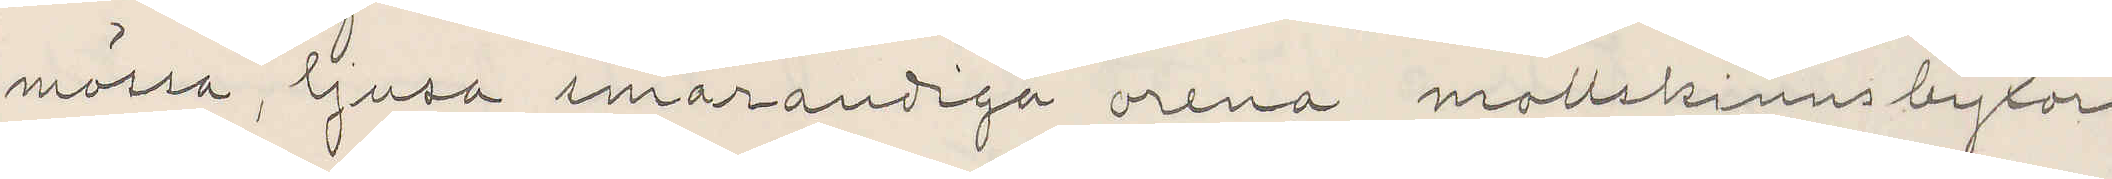mössa ljusa smårandiga orena mollskinnsbyxor
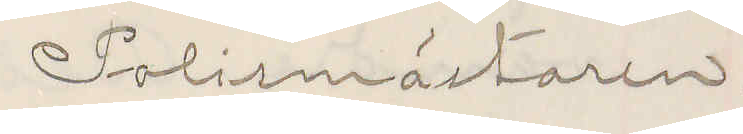Polismästaren.
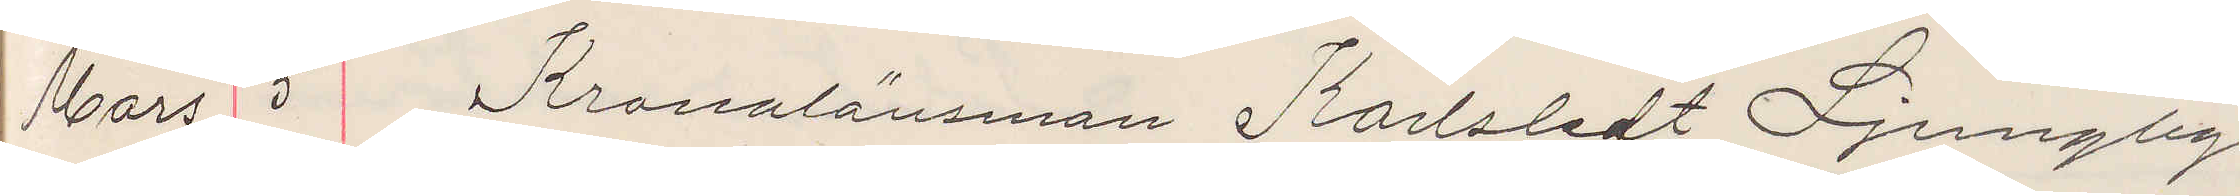Mars 5 Kronolänsmannen Karlstedt Ljungby.
